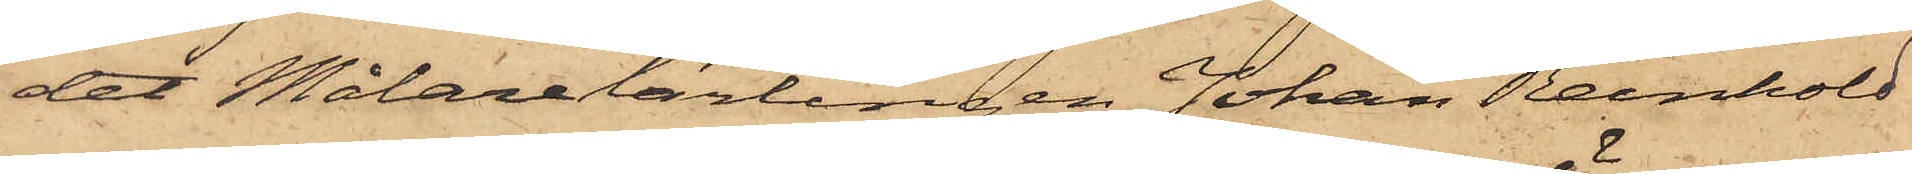det Målarelärlingen Johan Reinhold
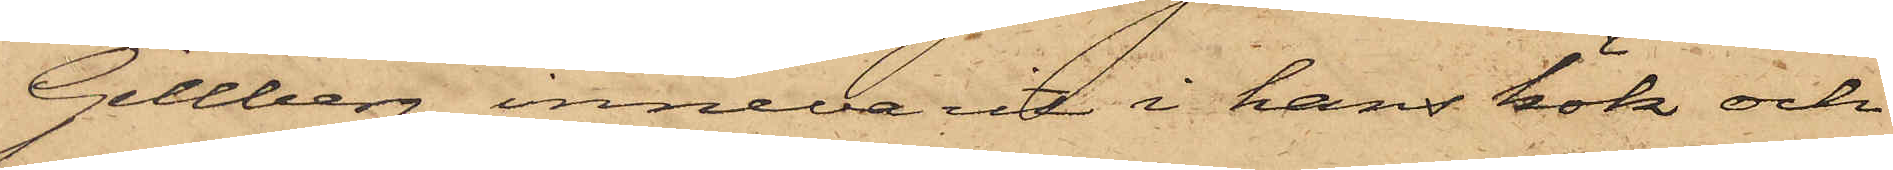Gillberg innevarit i hans kök och
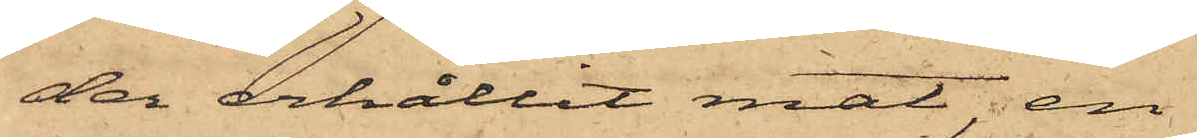der erhållit mat, en
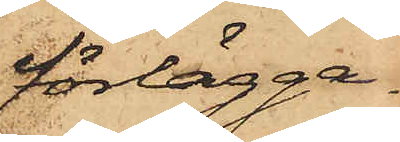förlägga¬
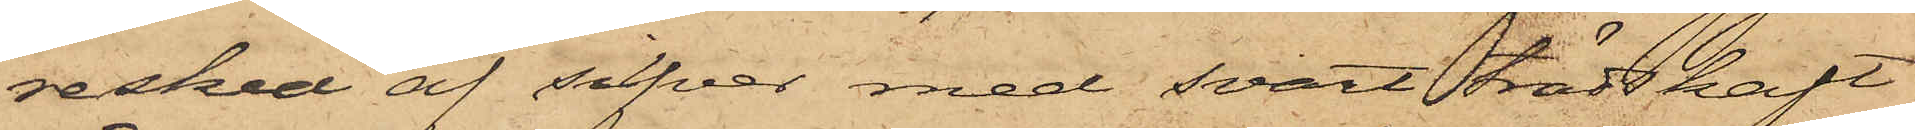resked af sifver med svart trädskaft,
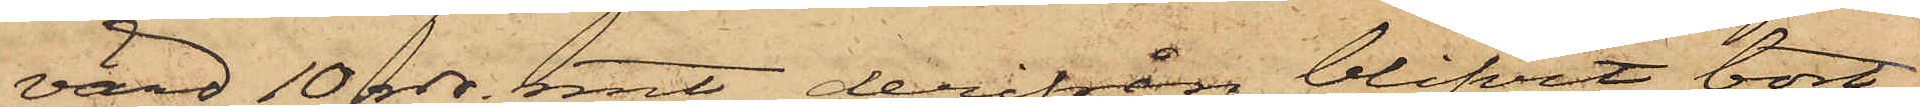värd 10 rdr. rmt, derifrån blifvit bort¬
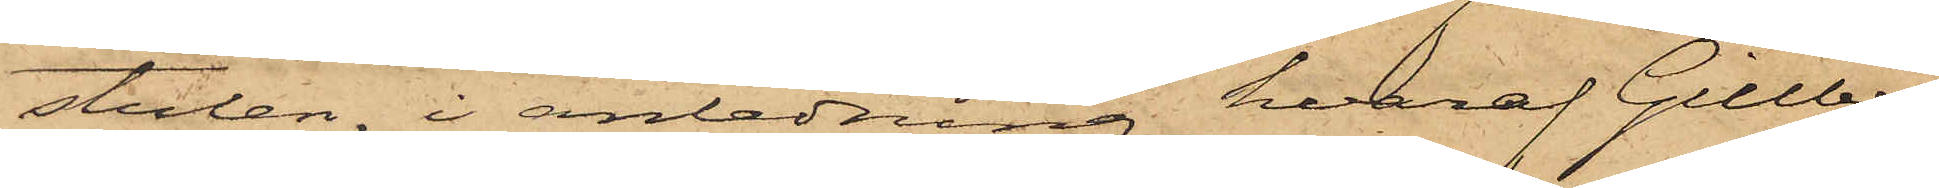stulen, i anledning hvaraf Gillberg
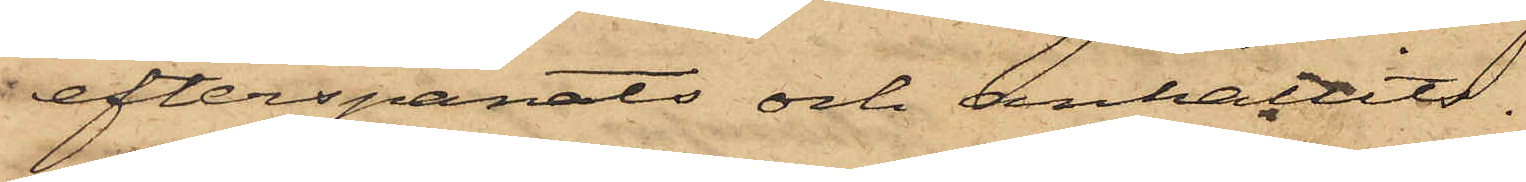efterspanats och anhållits.
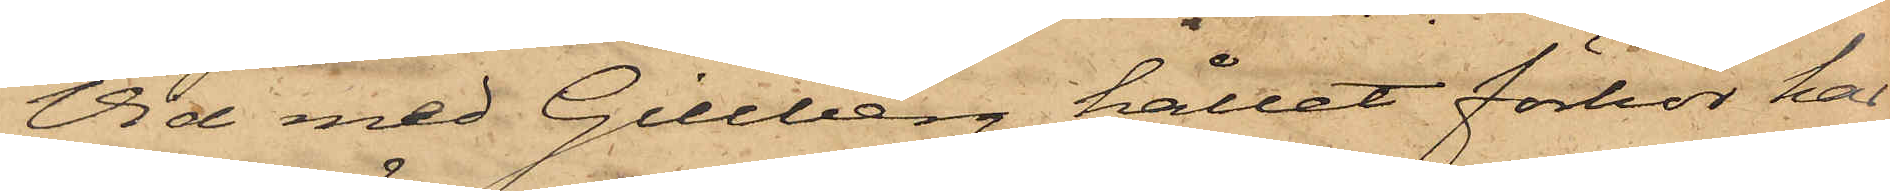Vid med Gillberg hållet förhör har
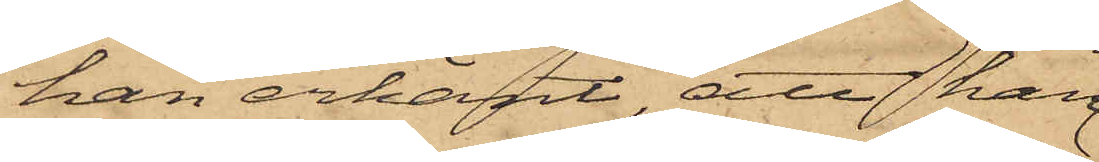han erkänt, att han
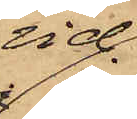vid
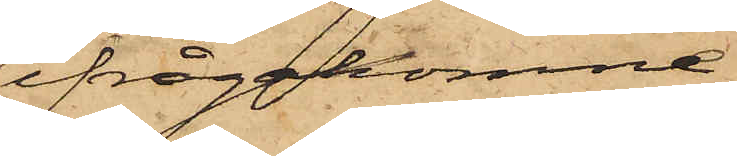ifrågakomne
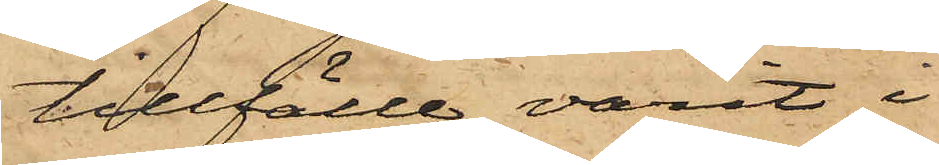tillfälle varit i
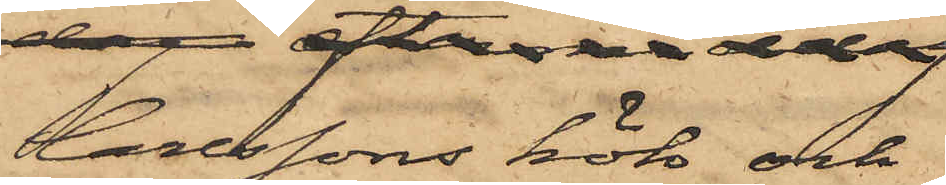Carlssons kök och
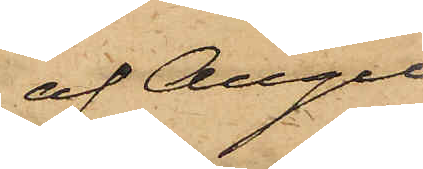af Augu¬
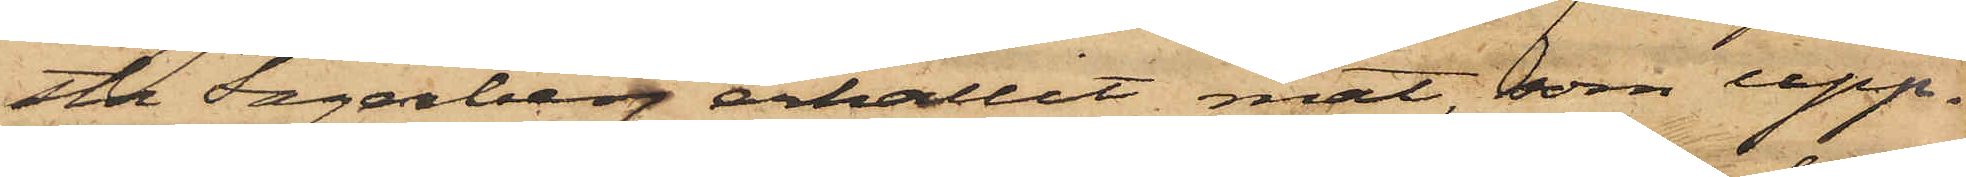sta Fagerberg erhållit mat, som upp¬
